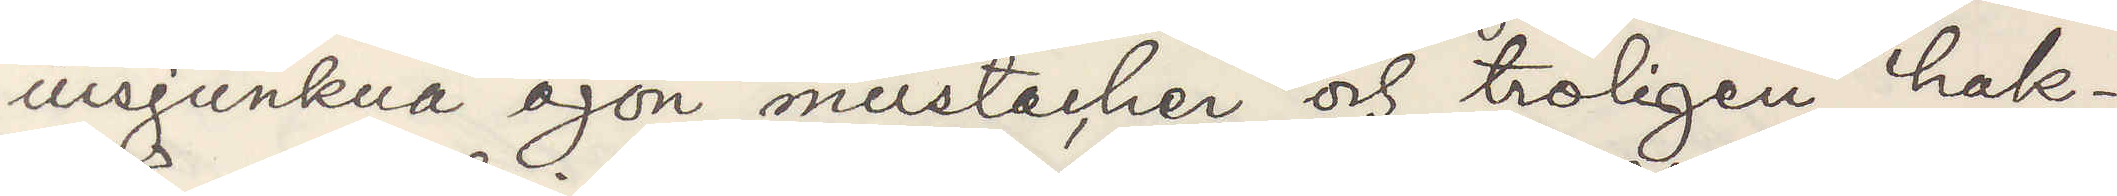insjunkna ögon mustacher och troligen hak¬
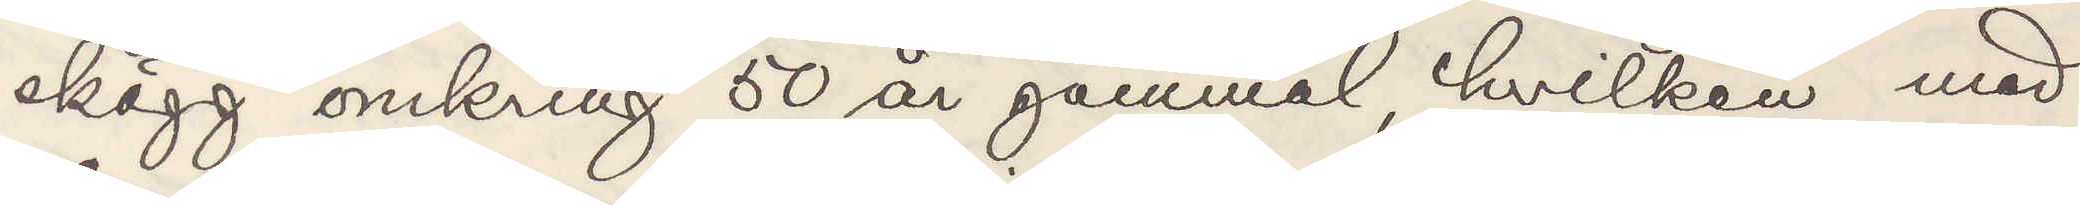skägg omkring 50 år gammal hvilken med
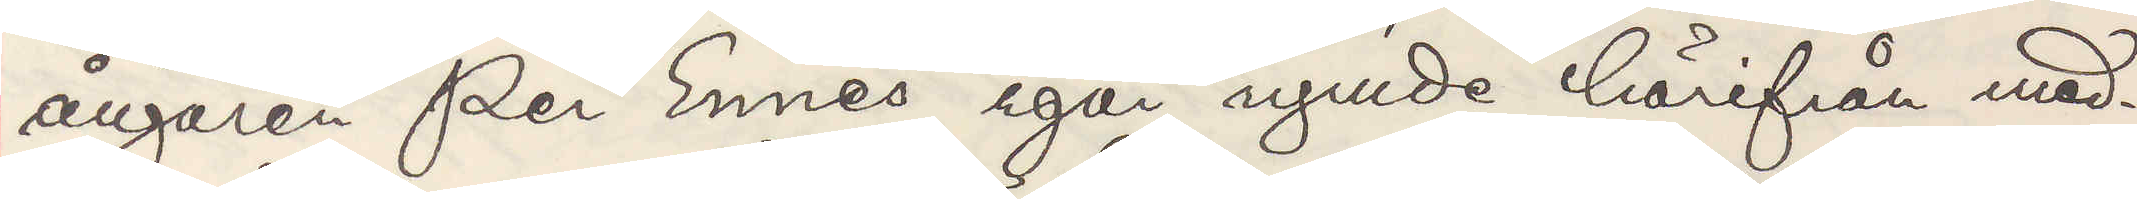ångaren "Per Ennes" igår rymde härifrån med¬
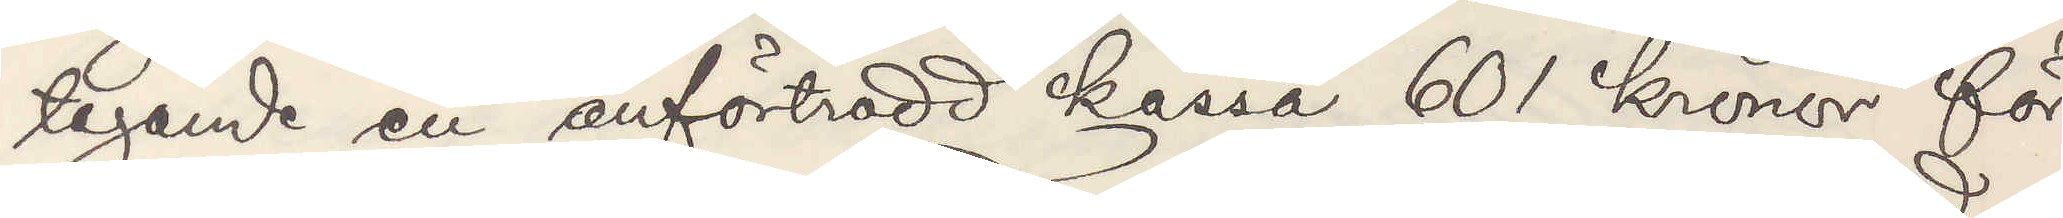tagande en anförtrodd kassa 601 kronor för
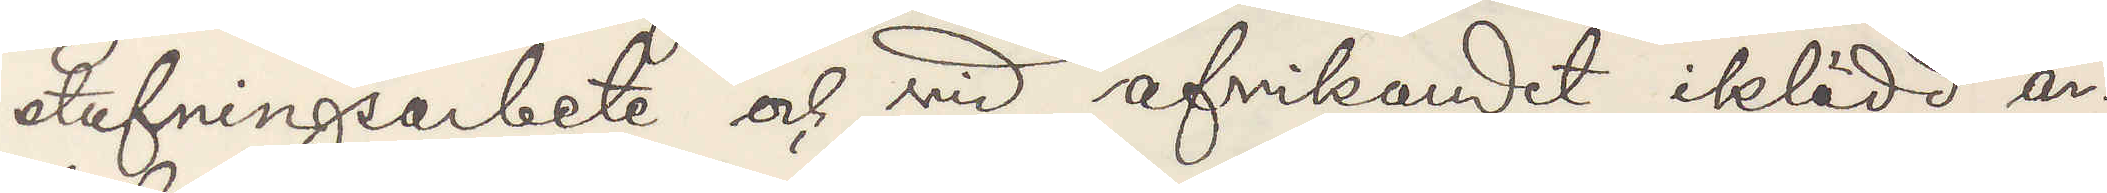stufningsarbete och vid afvikandet iklädd ar¬
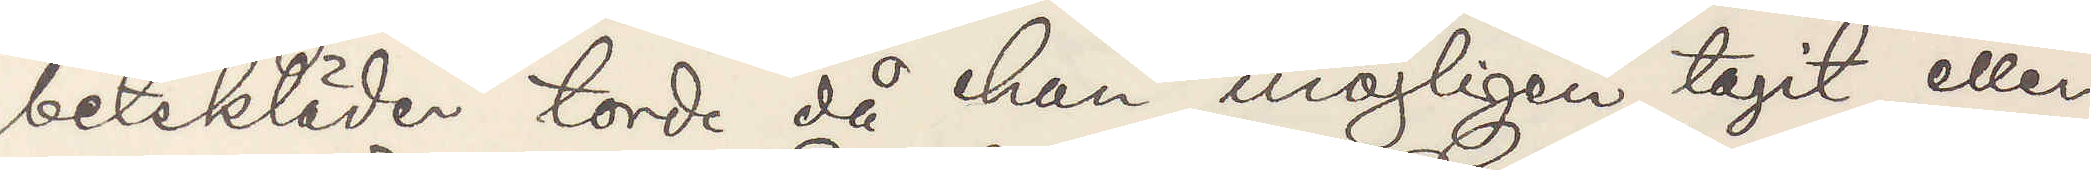betskläder torde då han möjligen tagit eller
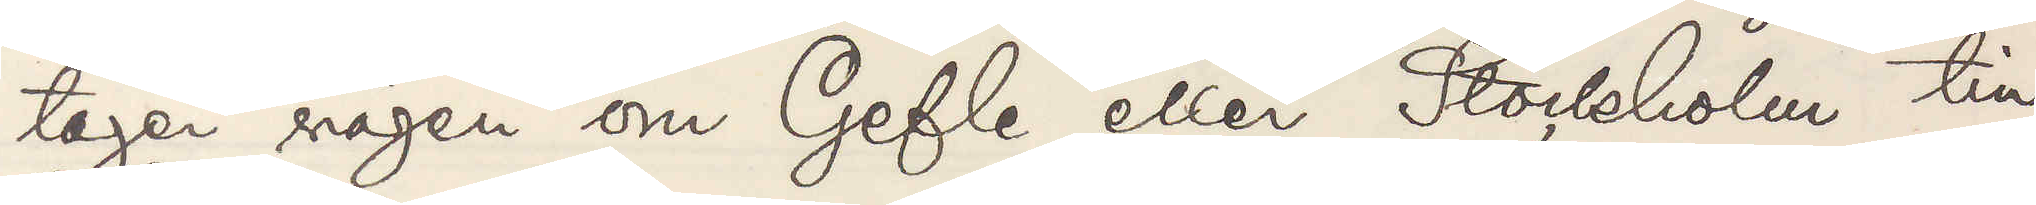tager vägen om Gefle eller Stockholm till
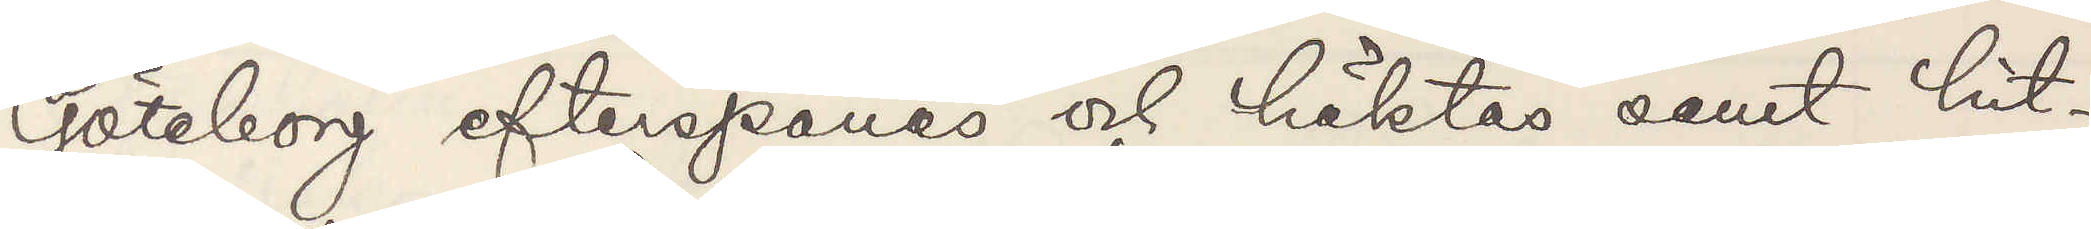Göteborg efterspanas och häktas samt hit¬
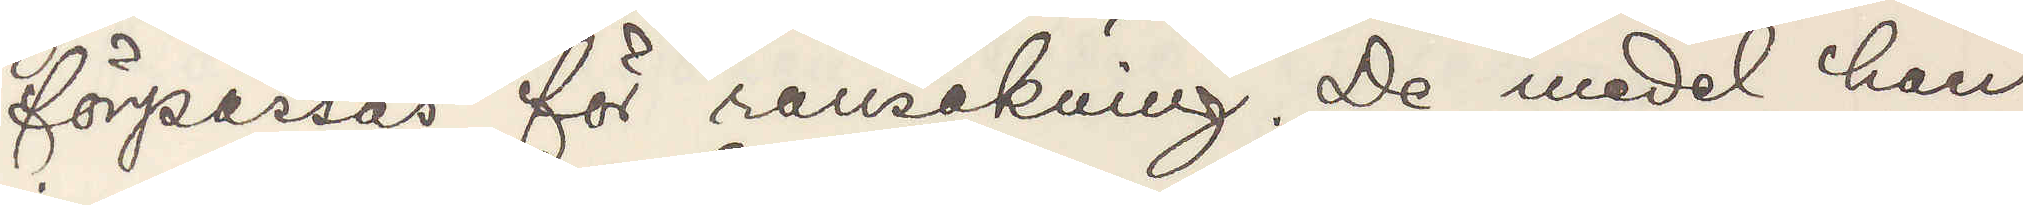förpassas för ransakning De medel han 
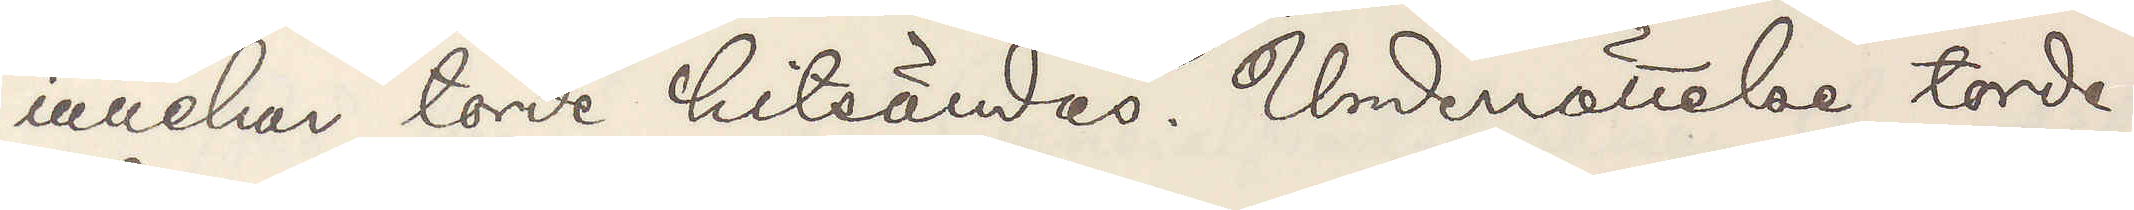innehar torde hitsändas. Underrättelse torde
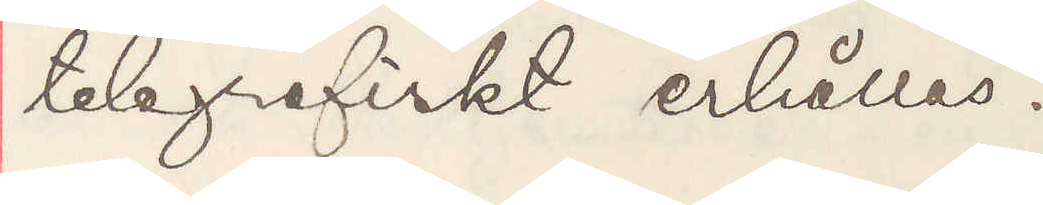telegrafiskt erhållas.
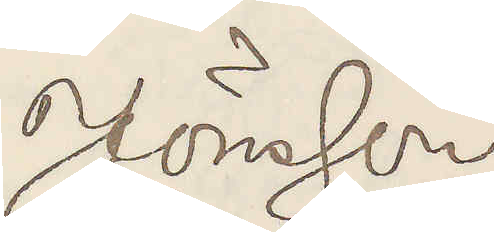Jönsson
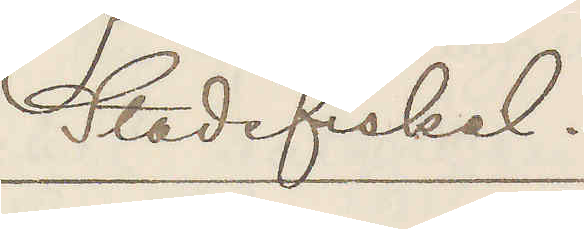Stadsfiskal.
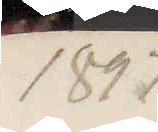1897
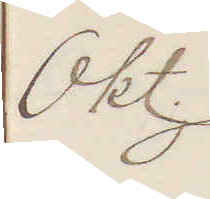Okt.
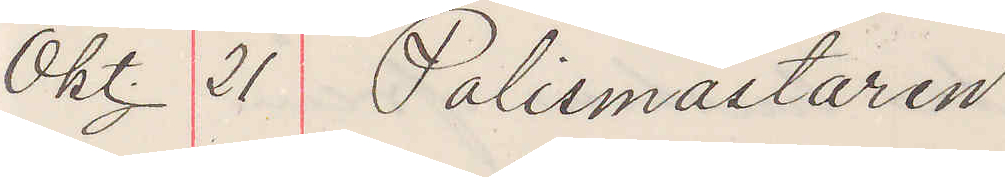Okt. 21 Polismästaren
